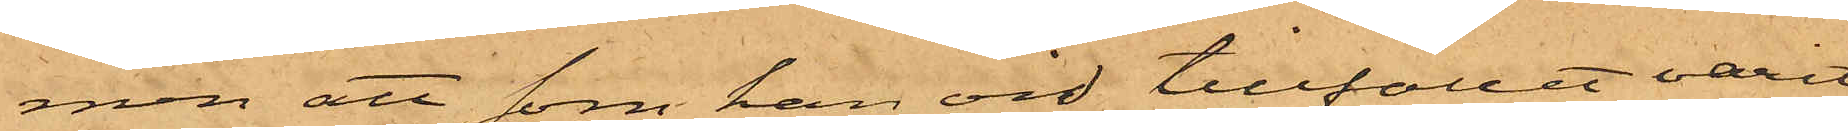men att som han vid tillfället varit
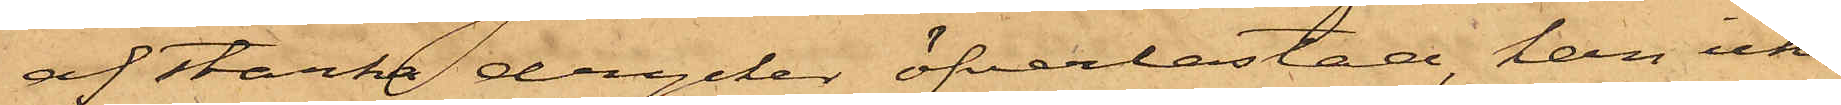af starka drycker öfverlastad, han icke
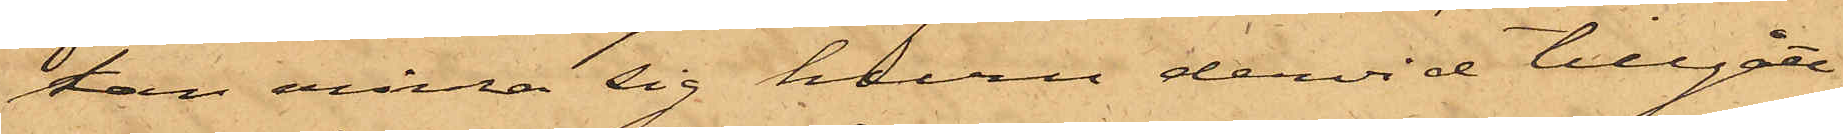kan erinra sig huru dervid tillgått.
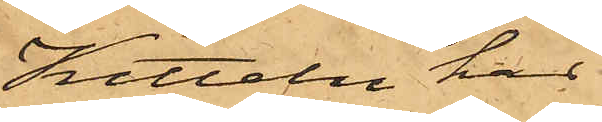Kitteln har
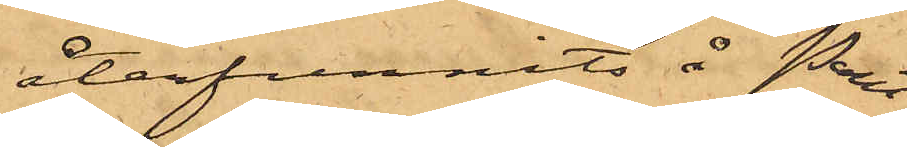återfunnits å Pant¬
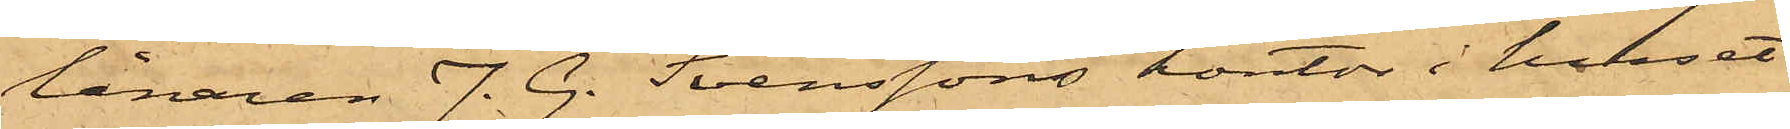lånaren J. G. Svenssons kontor i huset
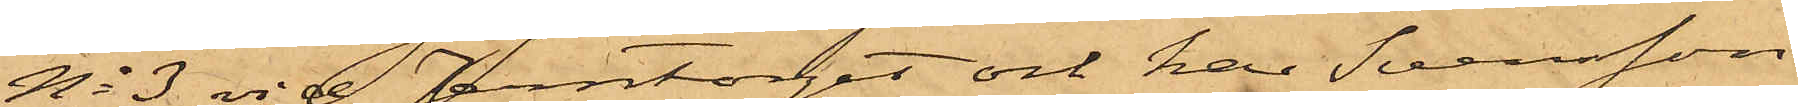No 3 vid Jerntorget och har Svensson
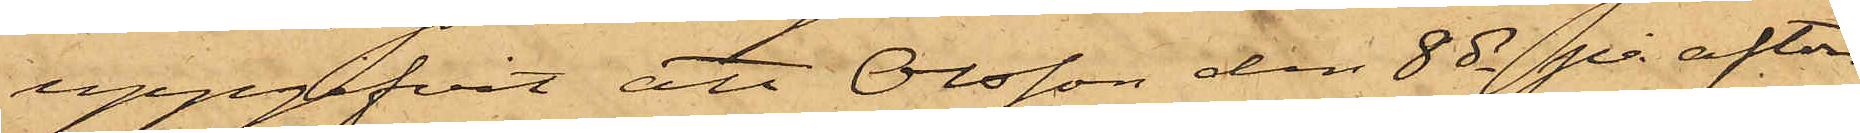uppgifvit, att Olsson den 8 ds på afton
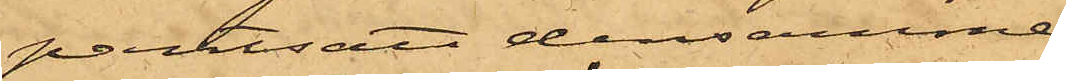pantsatt densamme
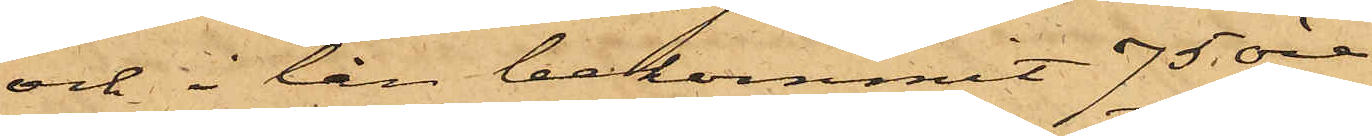och i lån bekommit 75 öre
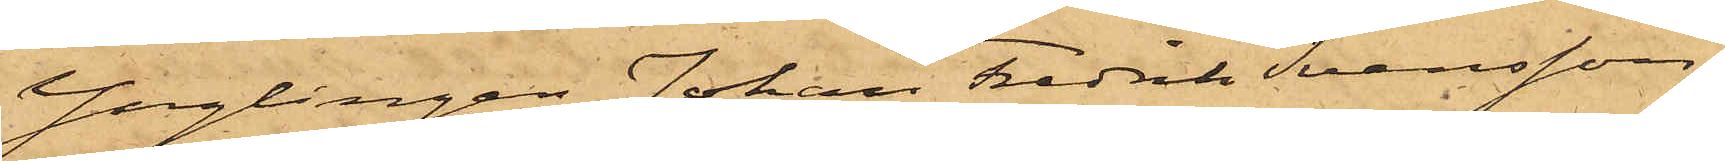Ynglingen Johan Fredrik Svensson,
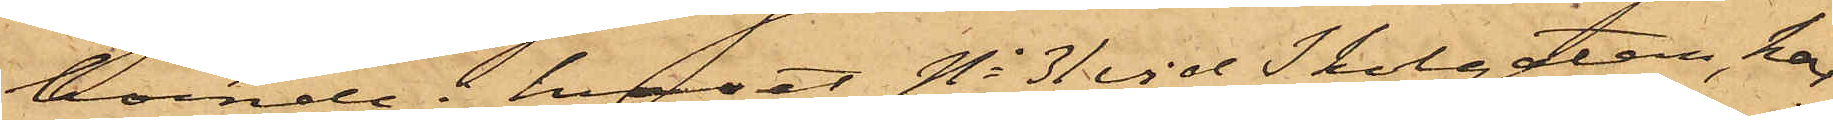boende i huset No 31 vid Skolgatan, har
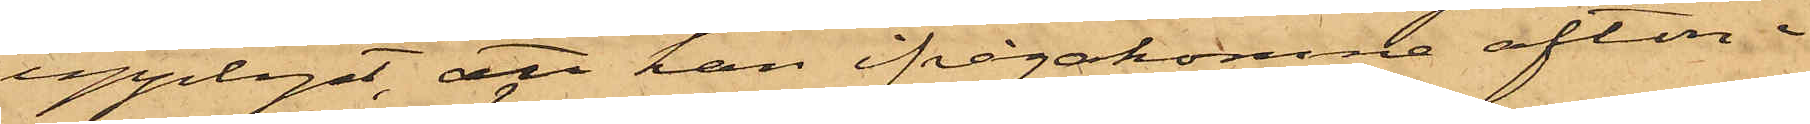upplyst, att han ifrågakomne afton i
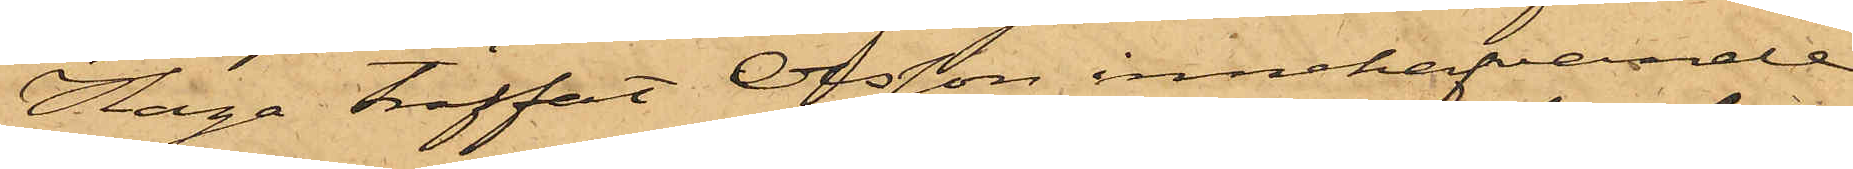Haga träffat Olsson innehafvande
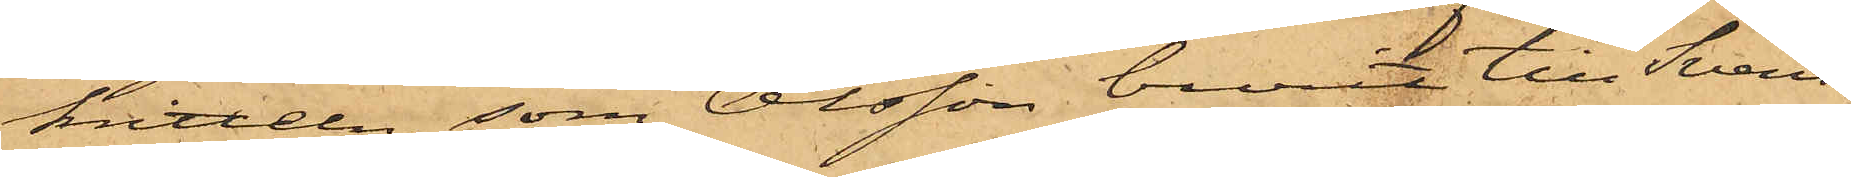kitteln, som Olsson burit till Svens¬
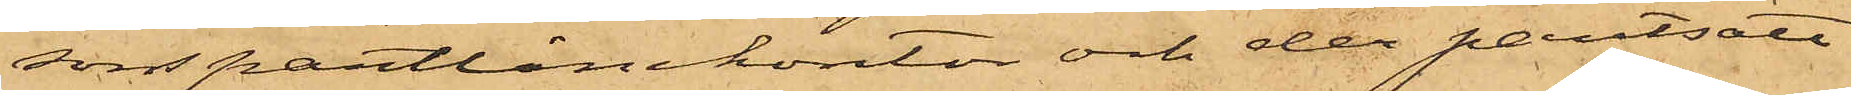sons pantlånekontor och der pantsatt
